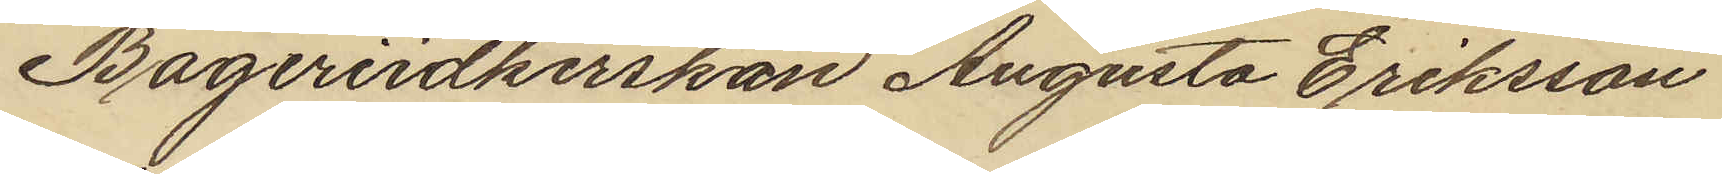Bageriidkerskan Augusta Eriksson
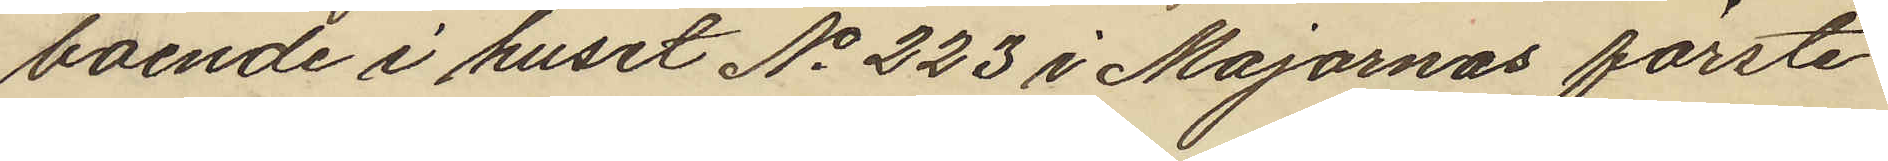boende i huset No 223 i Majornas förste
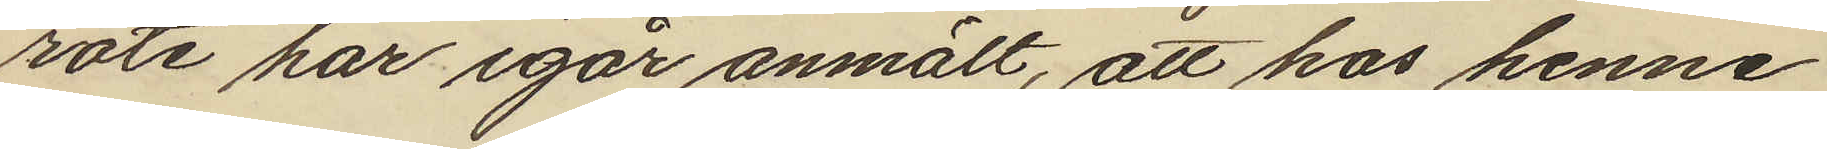rote har igår anmält, att hos henne
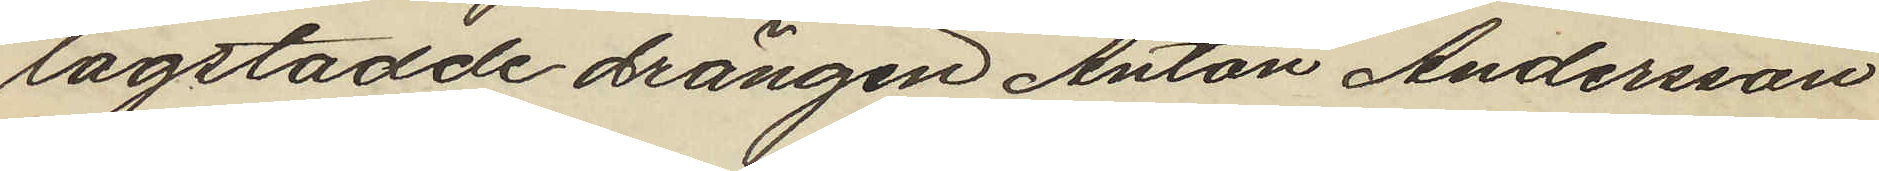lagstadde drängen Anton Andersson
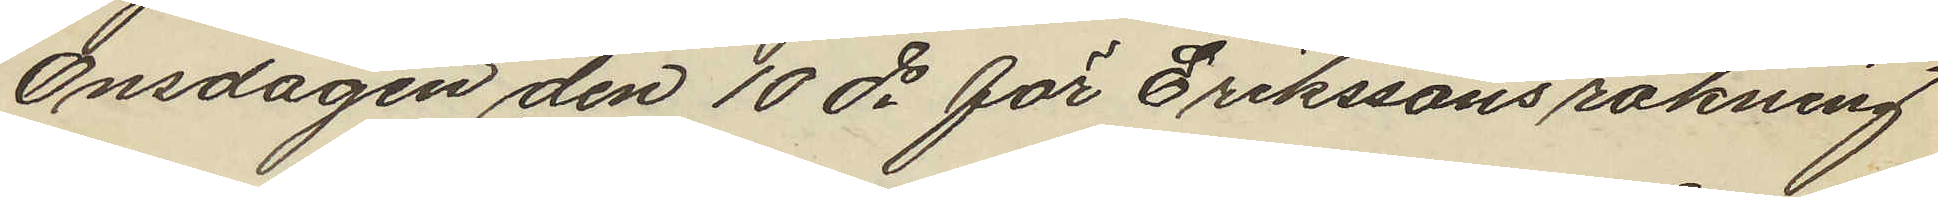Onsdagen den 10 ds för Erikssons räkning
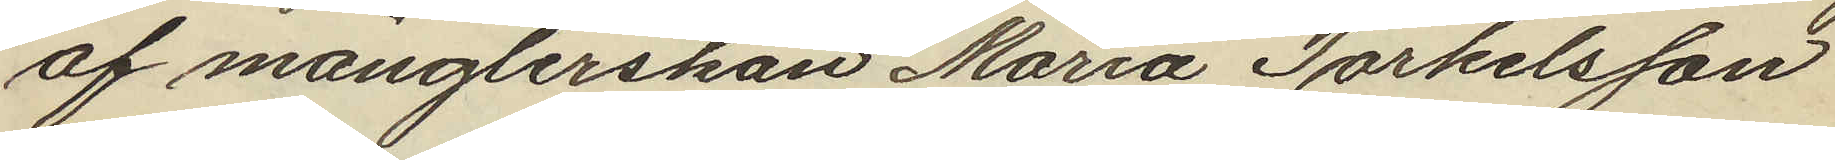af månglerskan Maria Torkelsson
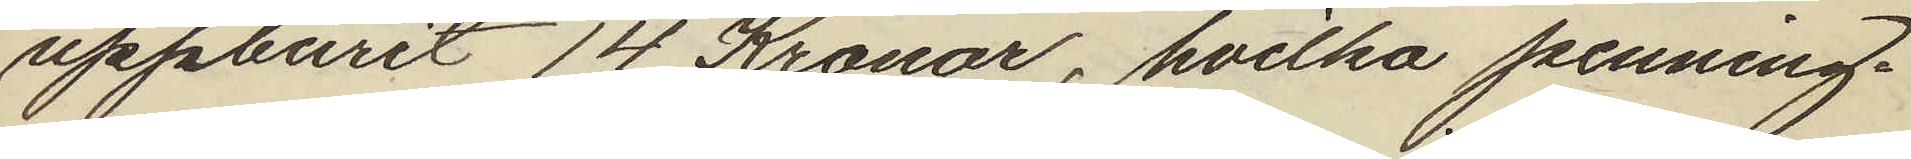uppburit 14 Kronor, hvilka penning¬
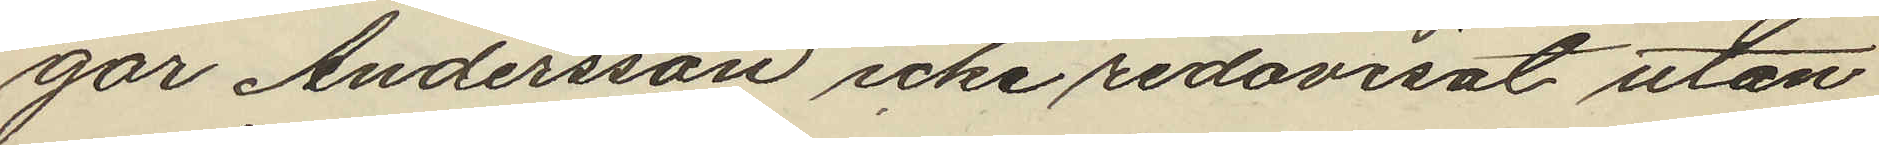gar Andersson icke redovisat utan
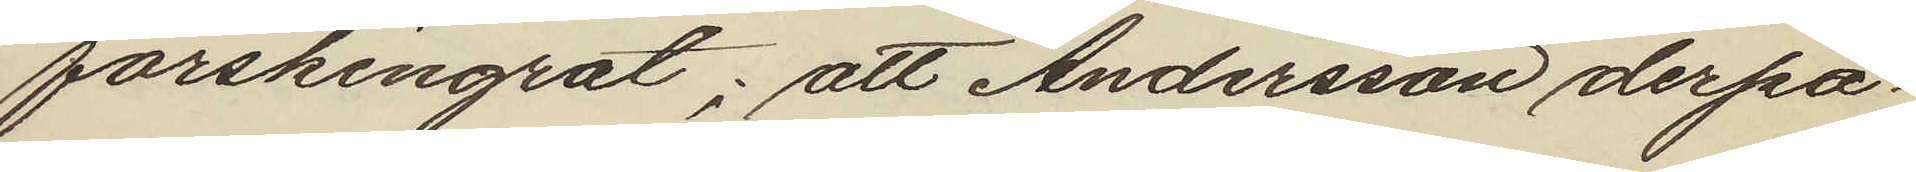förskingrat; att Andersson derpå¬
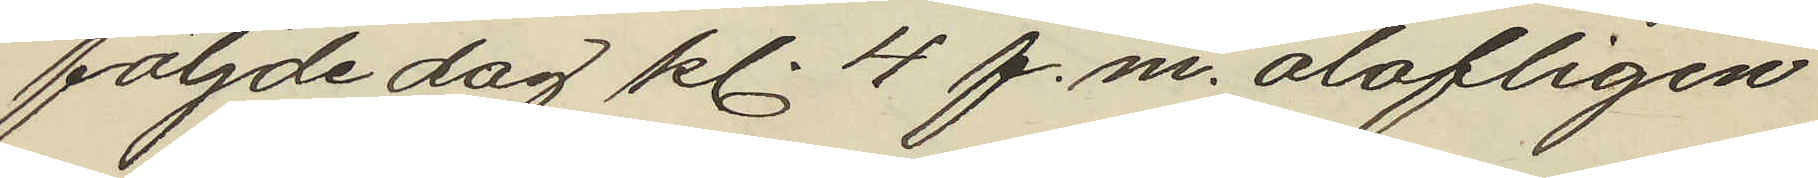följde dag kl. 4 f.m. olofligen
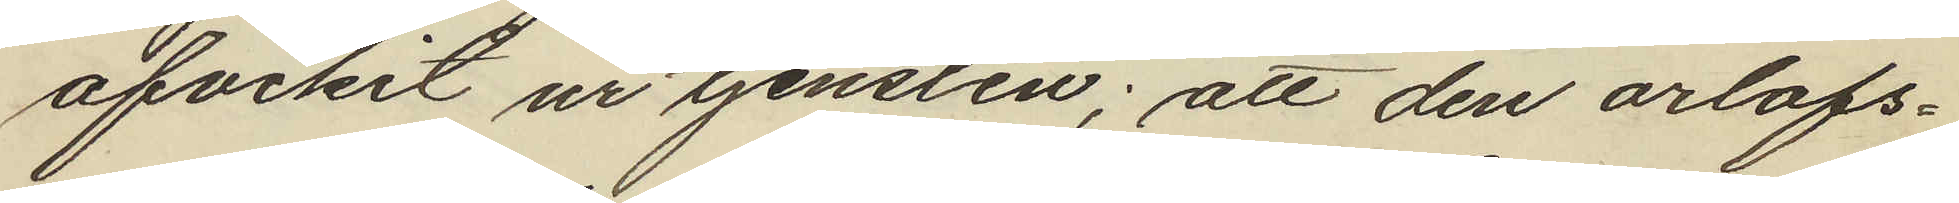afvikit ur tjensten; att den orlofs¬
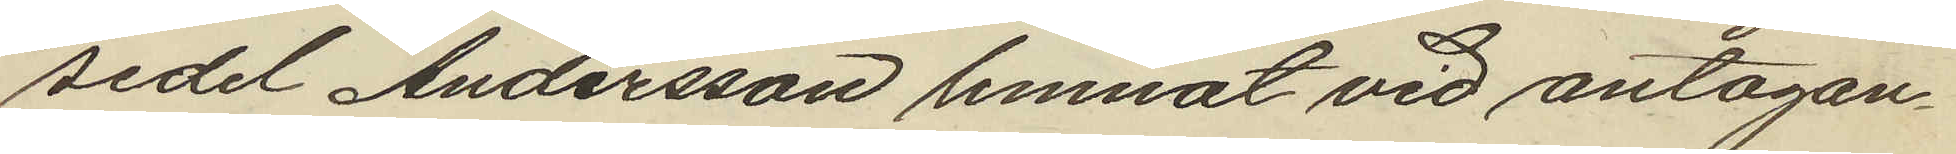sedel Andersson lemnat vid antagan¬
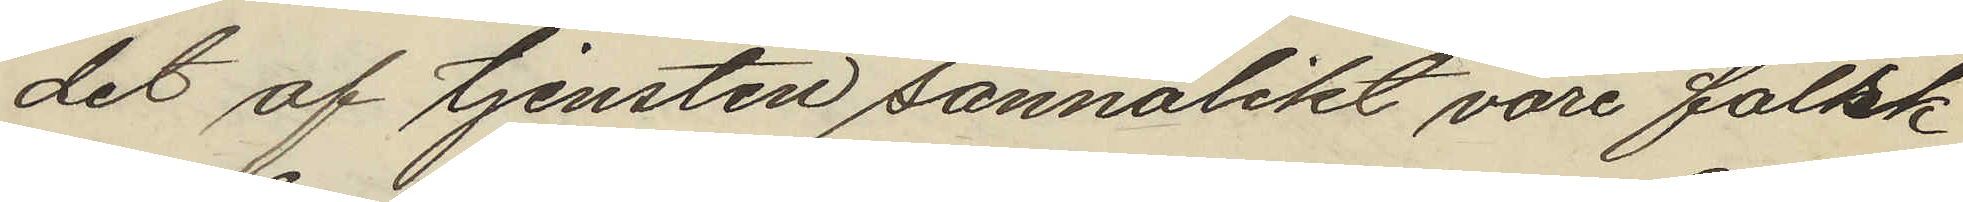det af tjensten sannolikt vore falsk
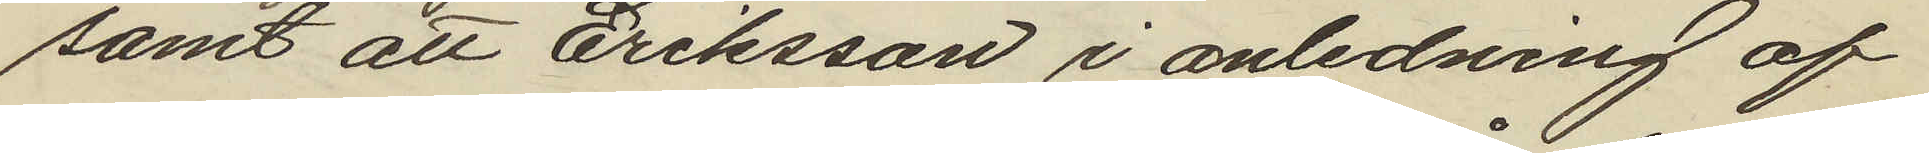samt att Eriksson i anledning af
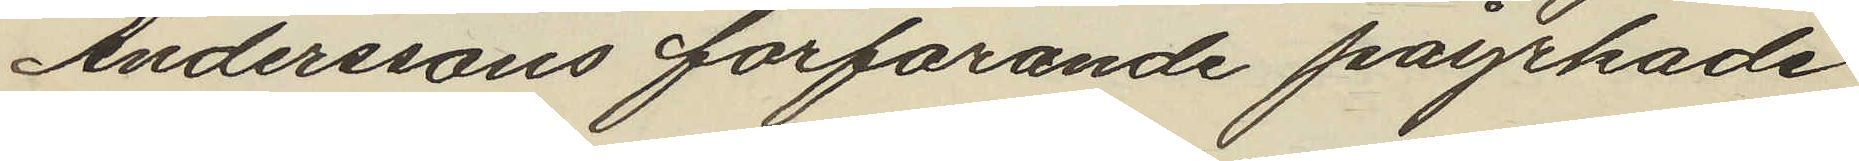Anderssons förfarande påyrkade
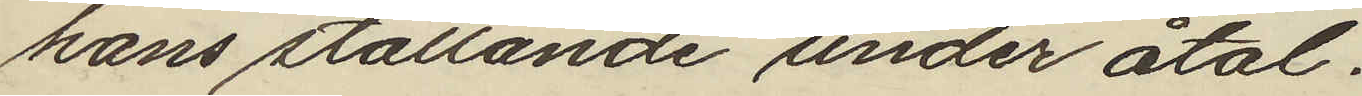hans ställande under åtal.
